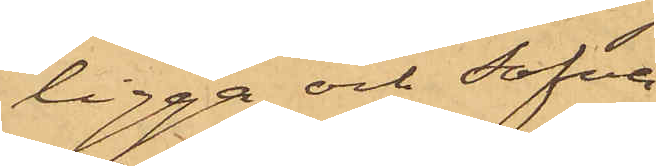ligga och sofva
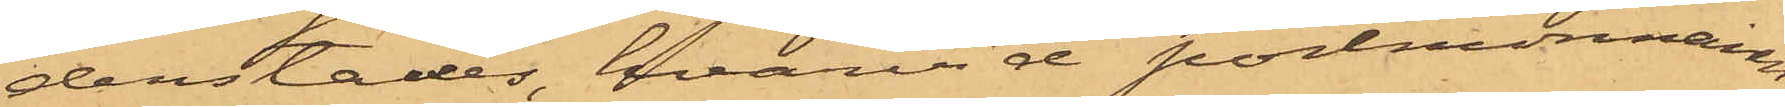derstädes, hvarvid portmonnaien
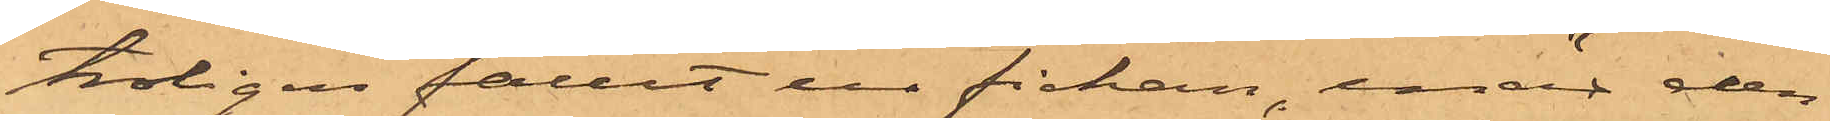troligen fallit ur fickan, enär den
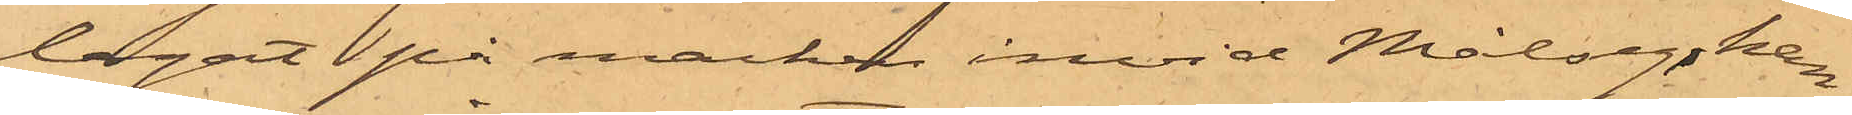legat på marken invid Målseg, han
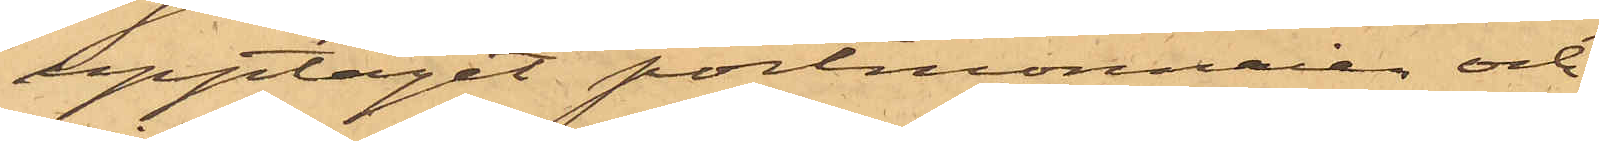upptagit portmonnaien och
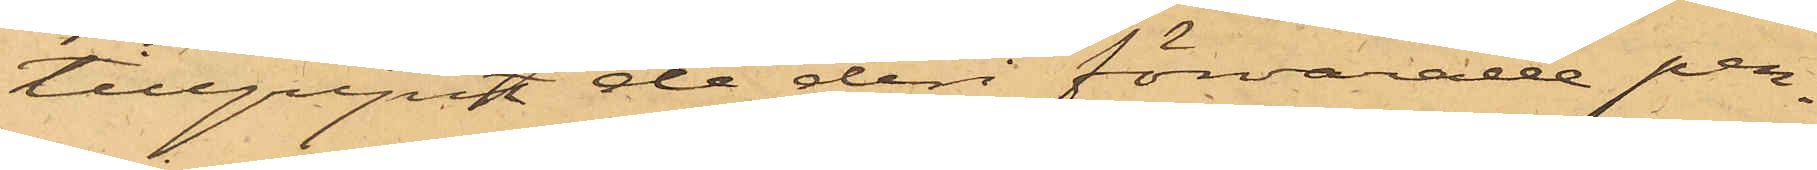tillgripit de deri förvarade pen¬
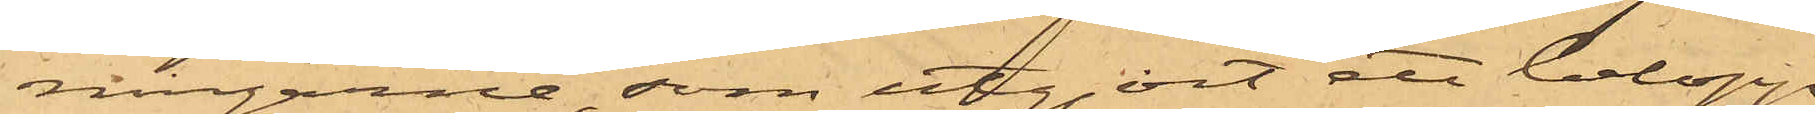ningarne, som utgjort ett belopp
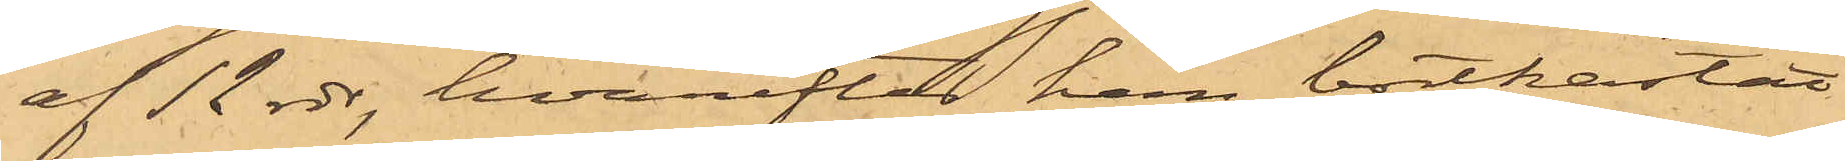af 12 rdr, hvarefter han bortkastat
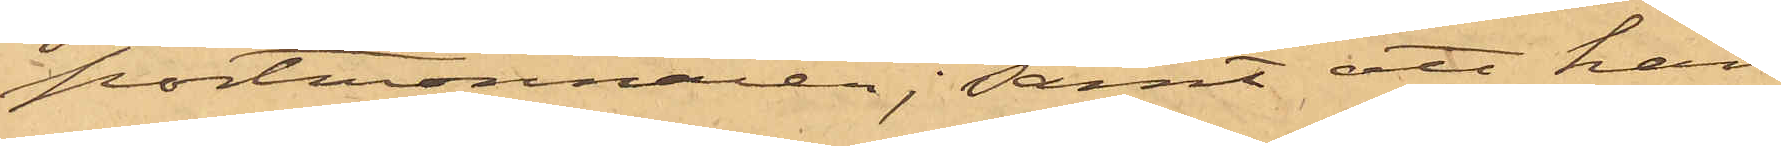portmonnaien; samt att han
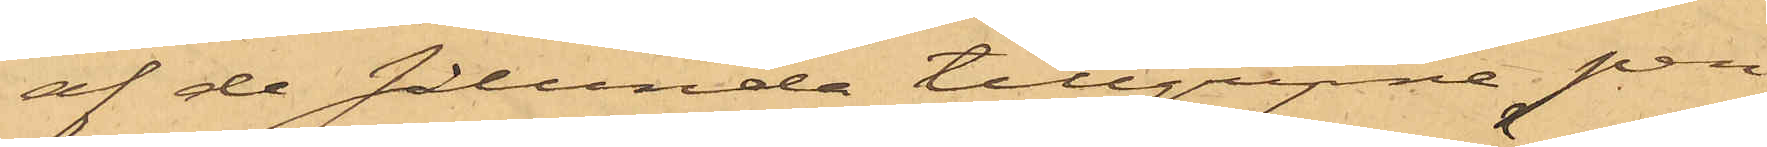af de sålunda tillgripne pen¬
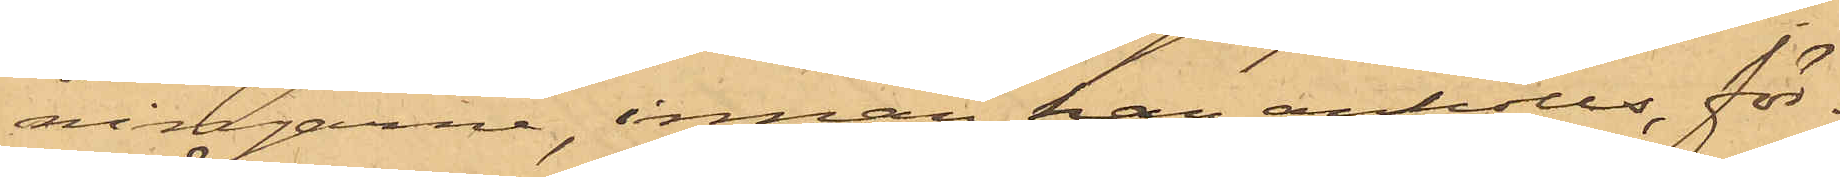ningarne, innan han anhölls, för¬
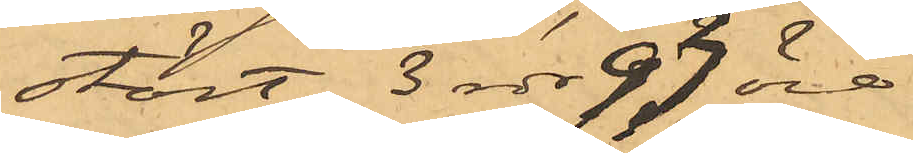stört 3 rdr 93 öre.
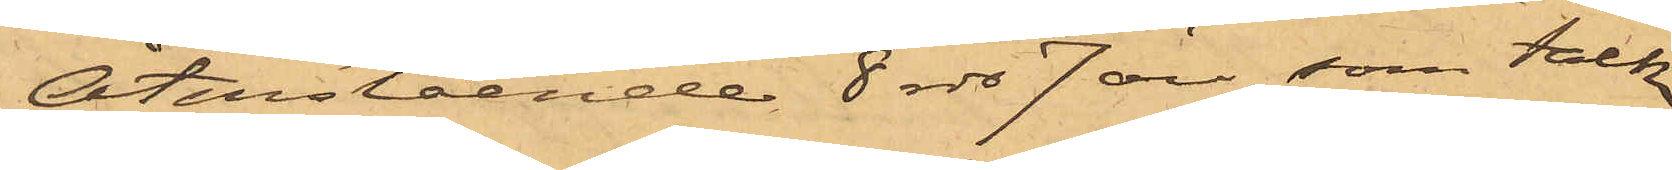Återstående 8 rdr 7 öre, som Falk
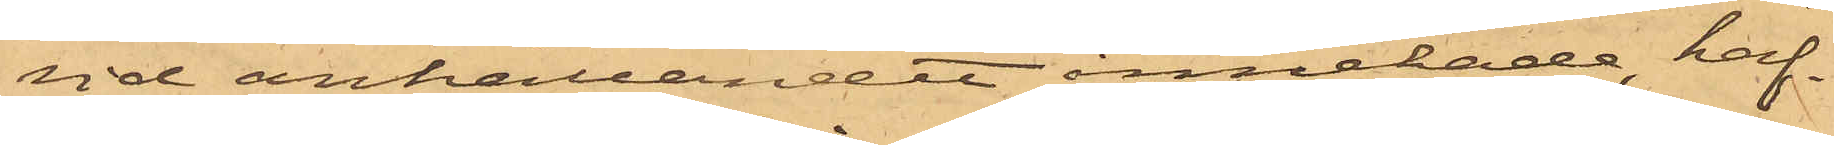vid anhållandet innehade, haf¬
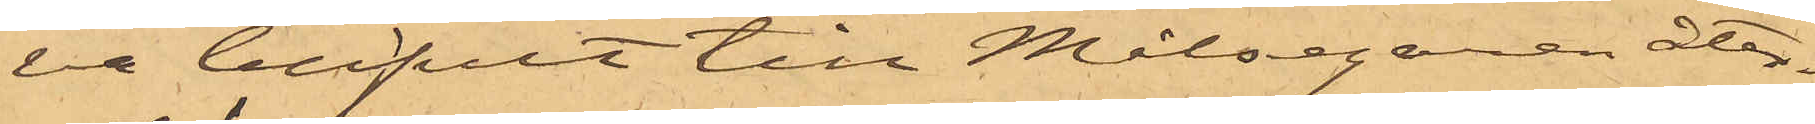va blifvit till Målsegaren åter¬
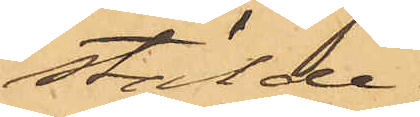stälde.
